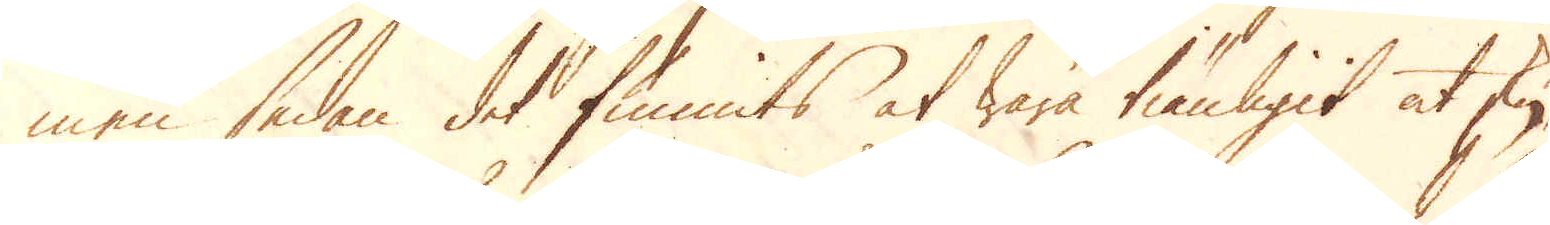men sedan det funnits at wara tiänligit at sky-
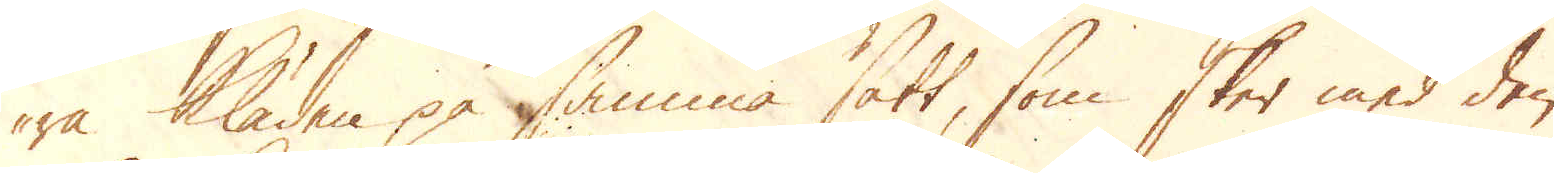ra Kläden på samma sätt, som sker med den
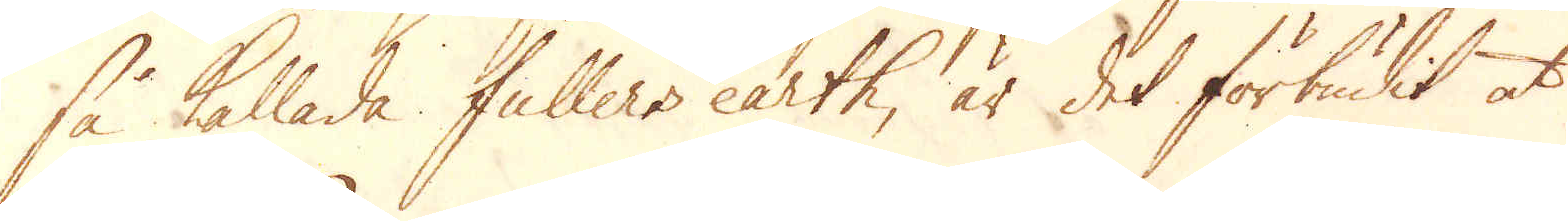så kallade Fullers earth, är det förbudit at
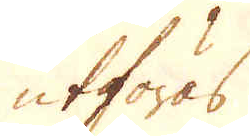utföras.
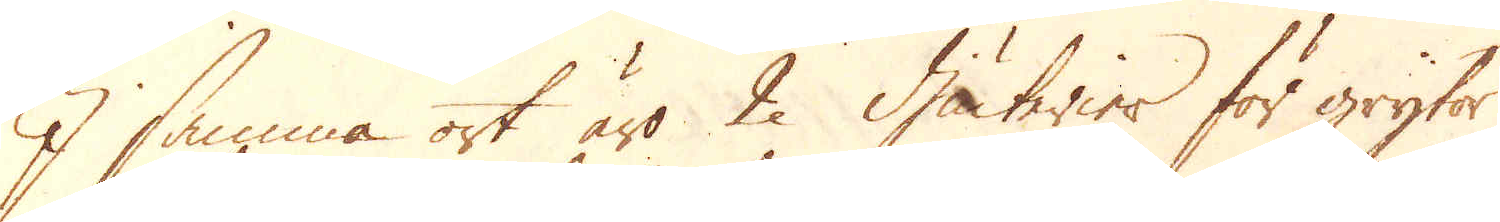I samma ort äro 2 Guterier för grytor
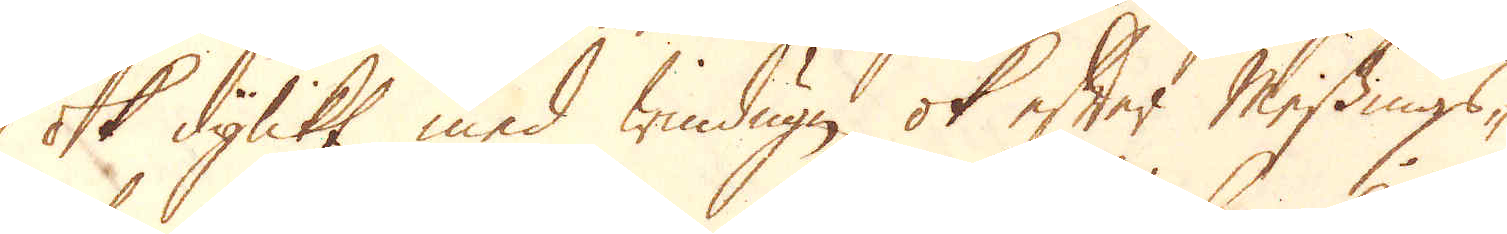ok dylikt med Windugn ok efter Messings-
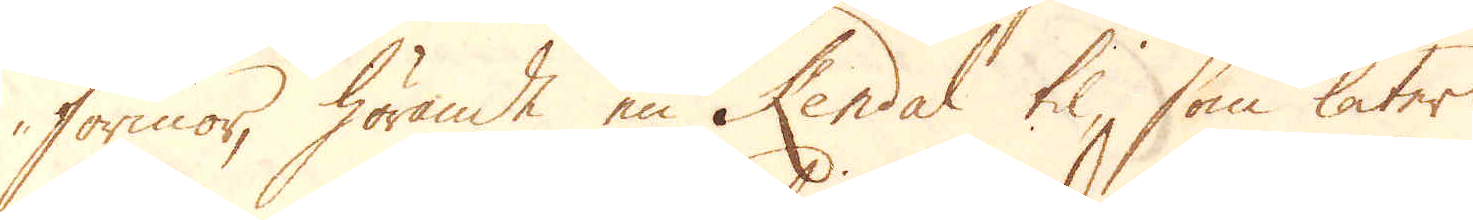formor, hörande en Kendal til, som låter
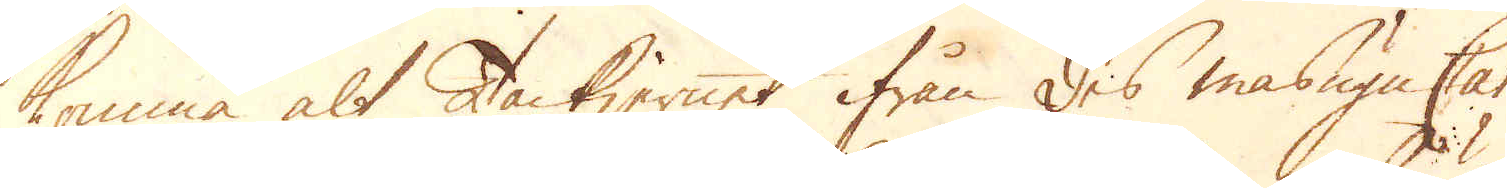komma alt Tackjernet ifrån des masugn Cam-
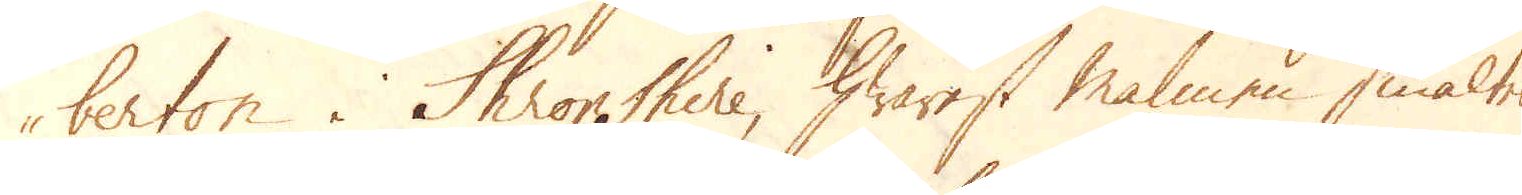berton i Schropshire, hwarest malmen smältes
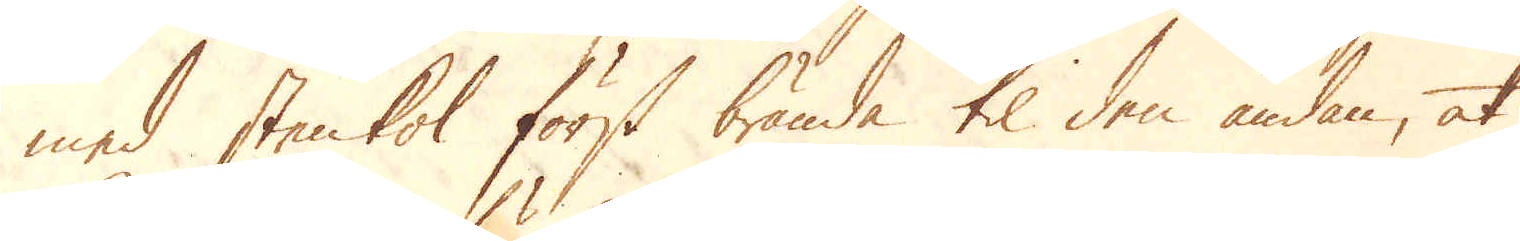med stenkol först brända til den ändan, at
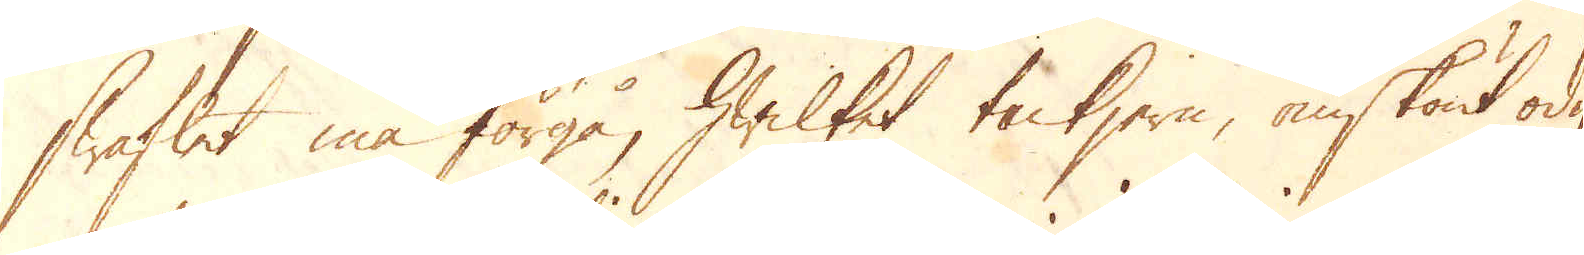Swaflet må förgå, hwilket tackjern, omskönt odu-
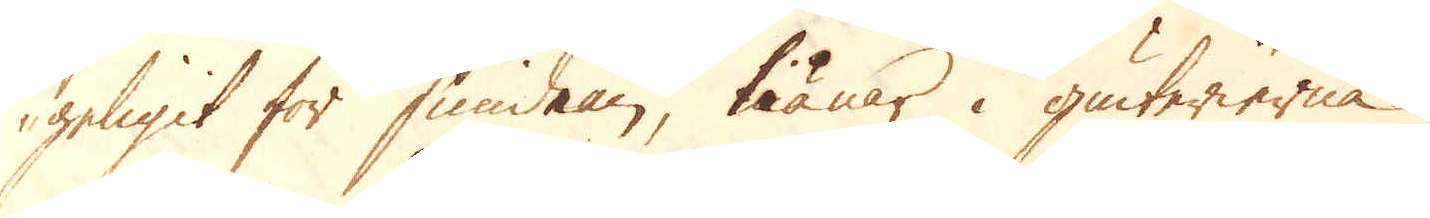geligit för smidian, tiänar i giuterierna.
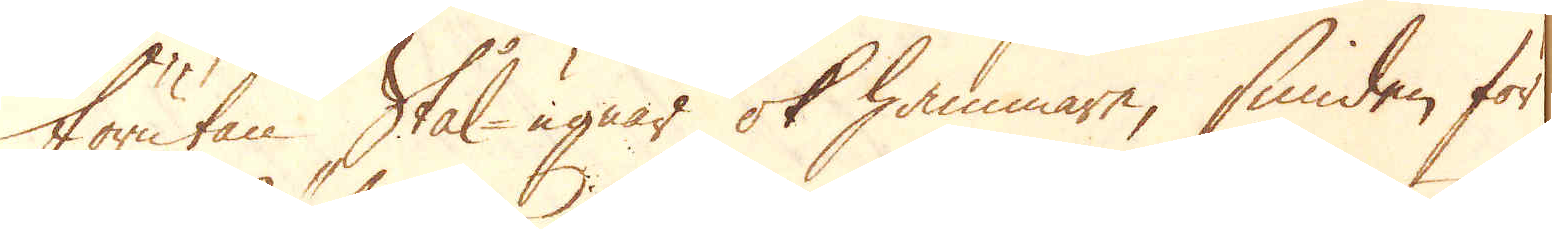Förutan Stål-ugnar ok hammare, smiden för
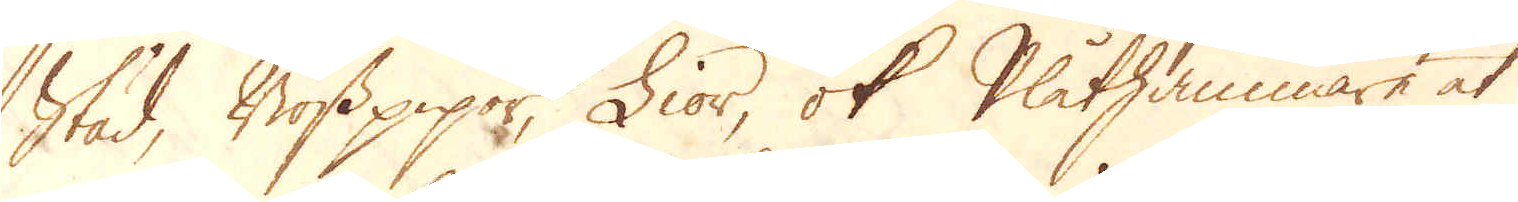Städ, Bösspipor, Lior, ok Plåthammare at
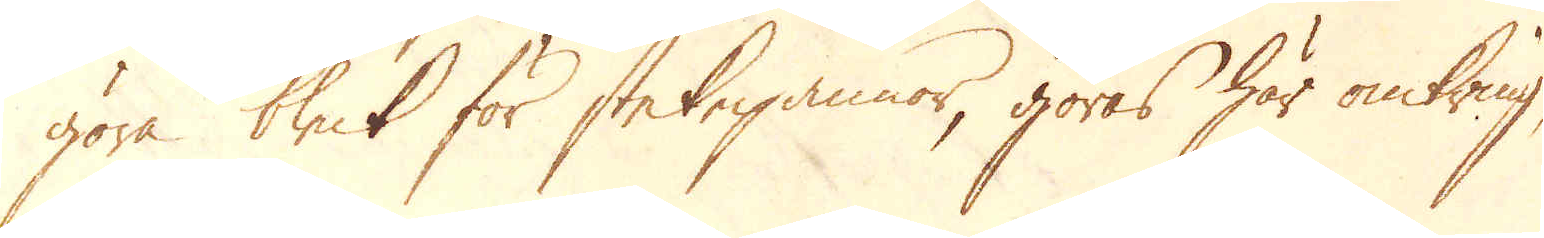göra bleck för stekpannor, göras här omkring,
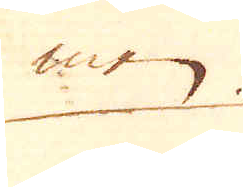men
